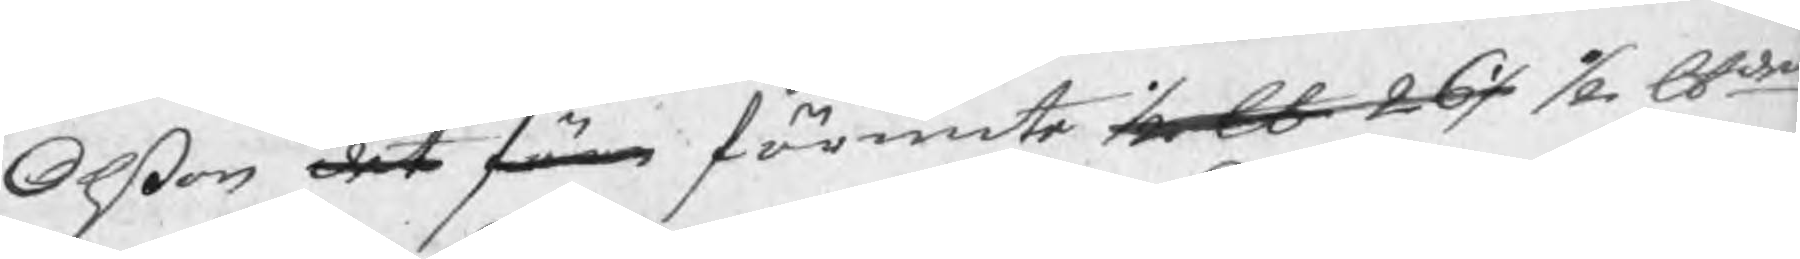Olßon det förr förunte ½ lb 26½ ½ Skdet.
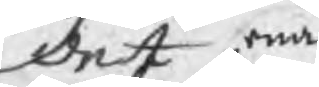det ena
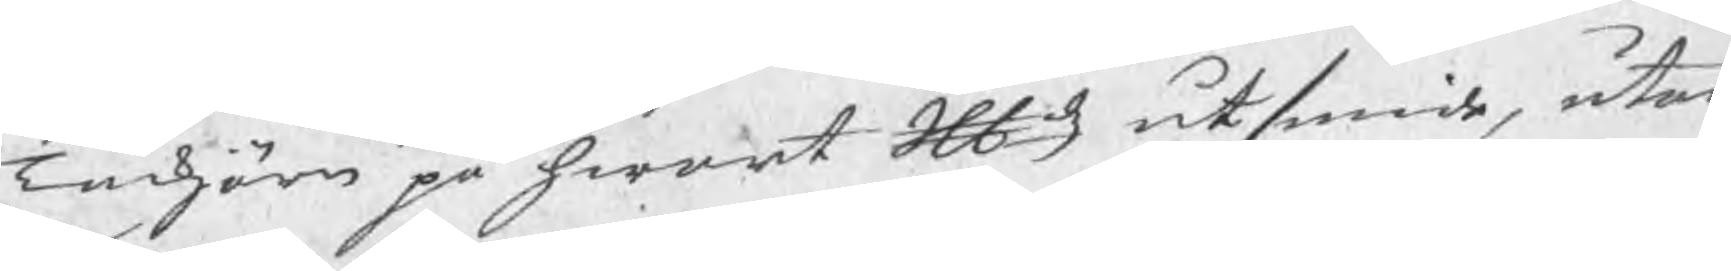Tackjärn på hwart Skldz utsmide, utan
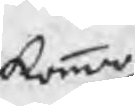kommer
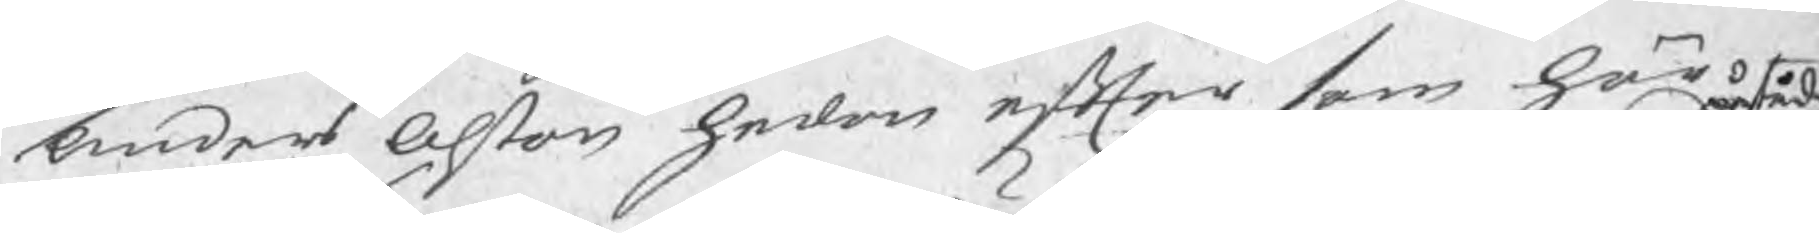Anders Olson hedan efter som här 
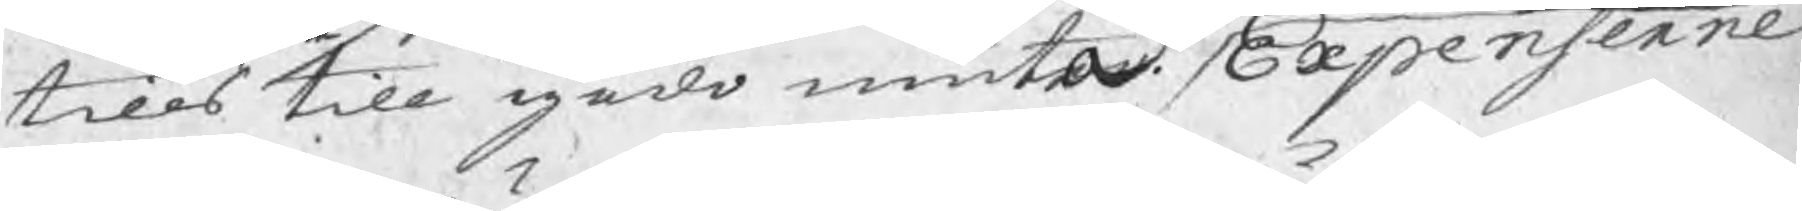tills till godo niuta. Expenserne
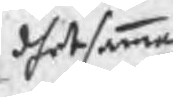dhet samma
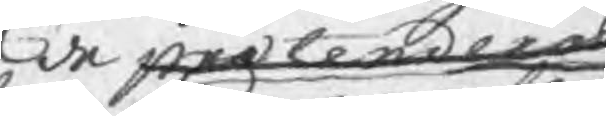de prætenderade 
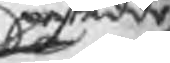påstådde
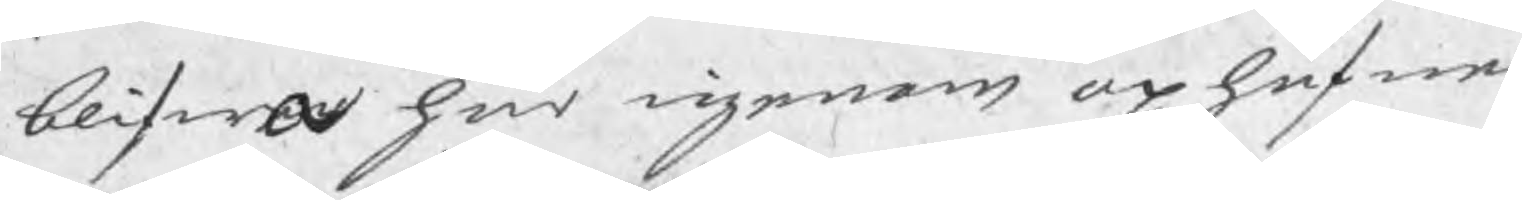blifwa här igenom uphäfne.
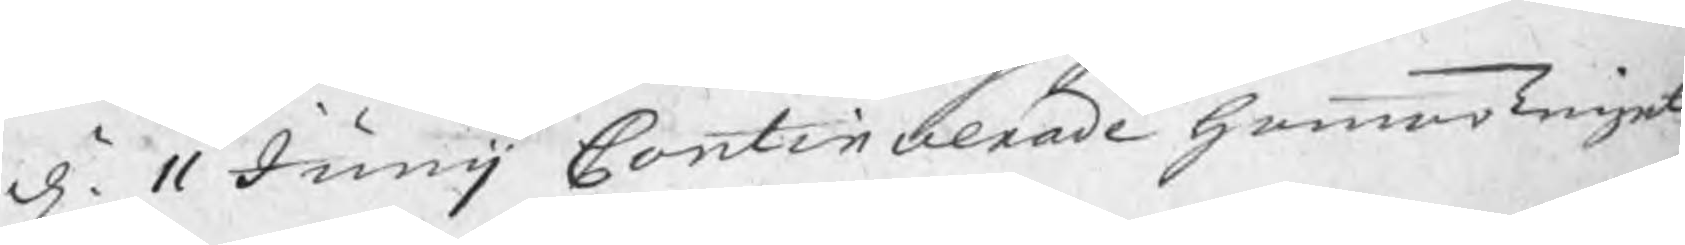d. 11 Junij Continuerade hammarTinget
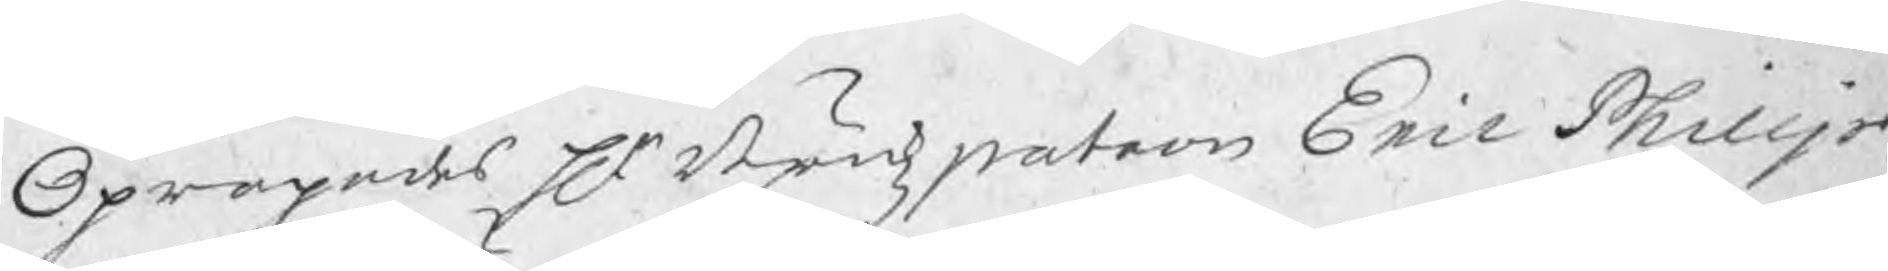Opropades Hr. Brukzpatron Eric Philip-
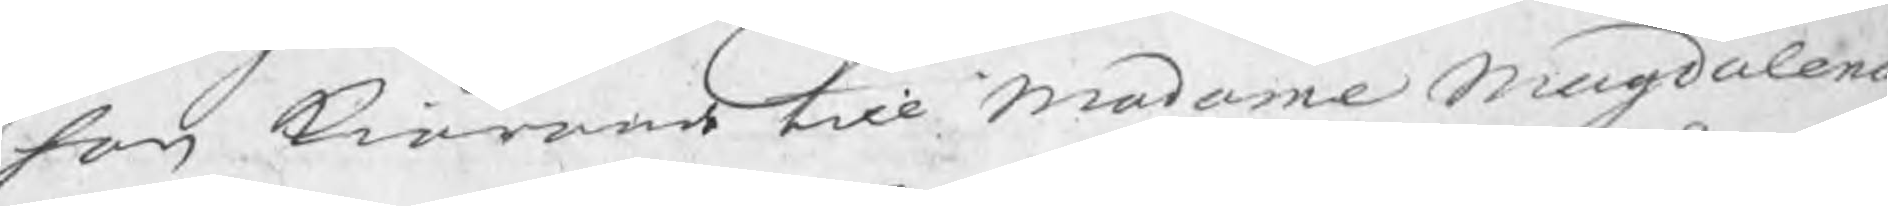son kiärande till Madame Magdalena
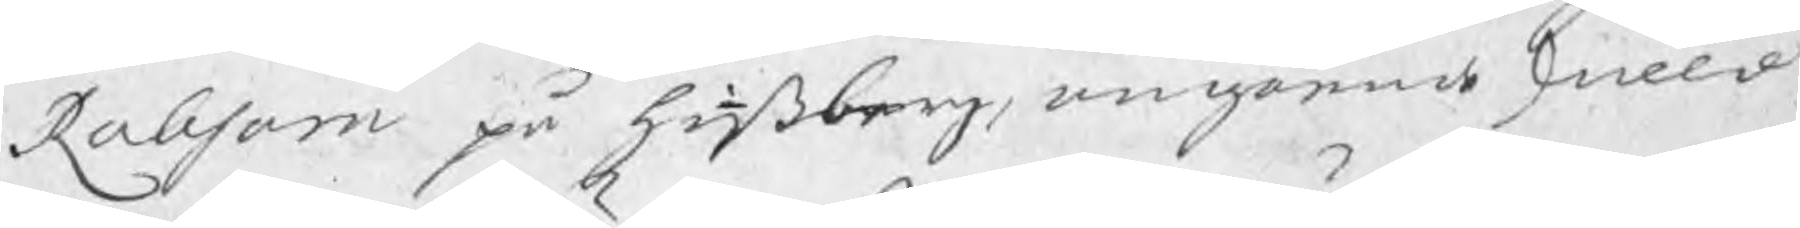Robsam på hinßberg, angående skuld
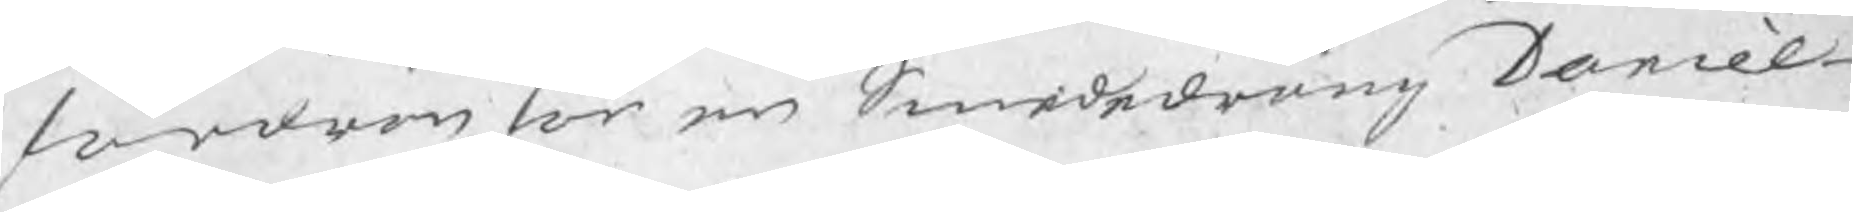fordran för en Smededräng Daniel
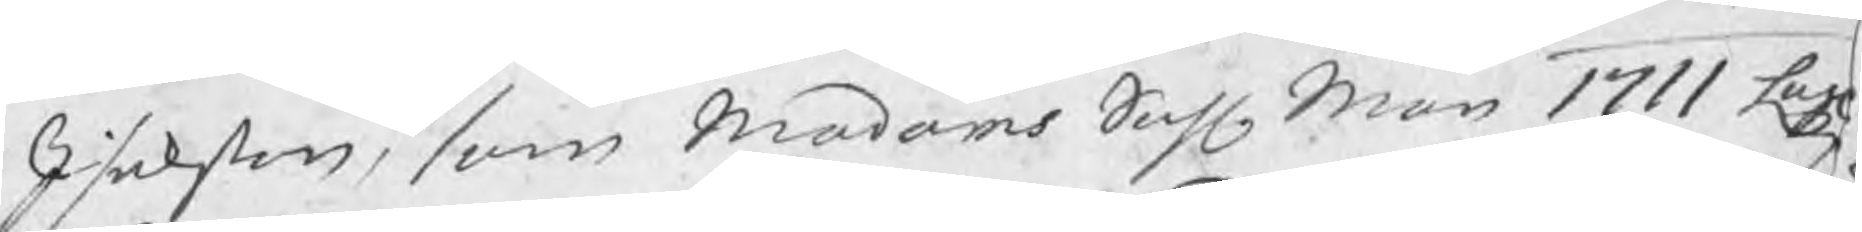Isakson, som Madams Sahl. Man 1711 Lagl
